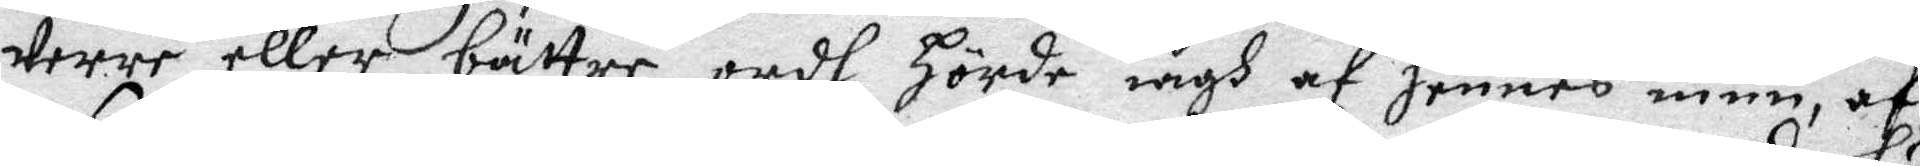werrre eller bättre ordh hörde iagh af hennes mun af
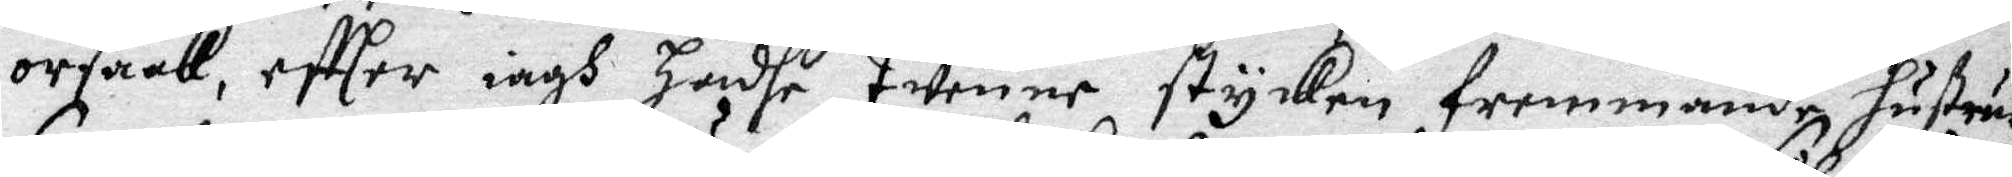orsaak, effter iagh Hadhe twenne stycken fremmande hustrur
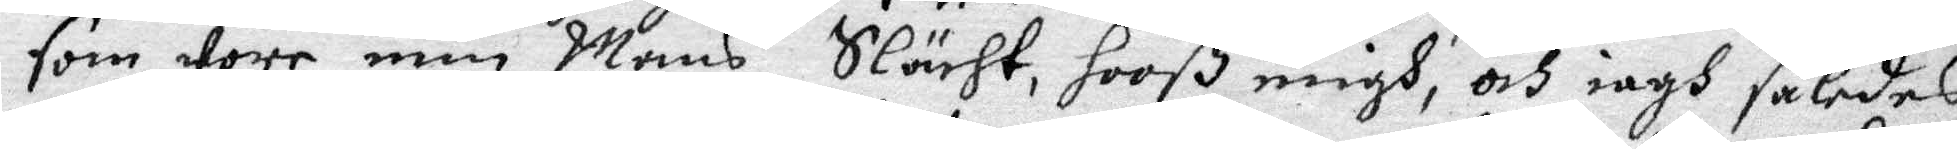som wore min Mans Slächt, hooß migh, och iagh således
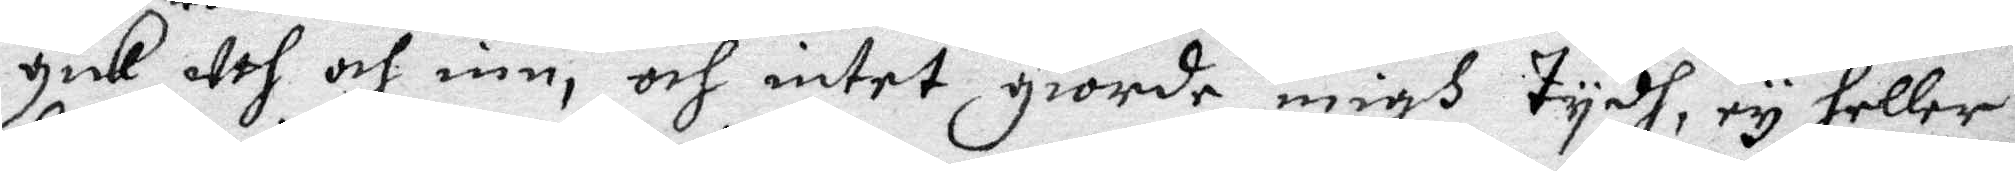gick uth och inn, och intet giorde migh tydh, ty heller
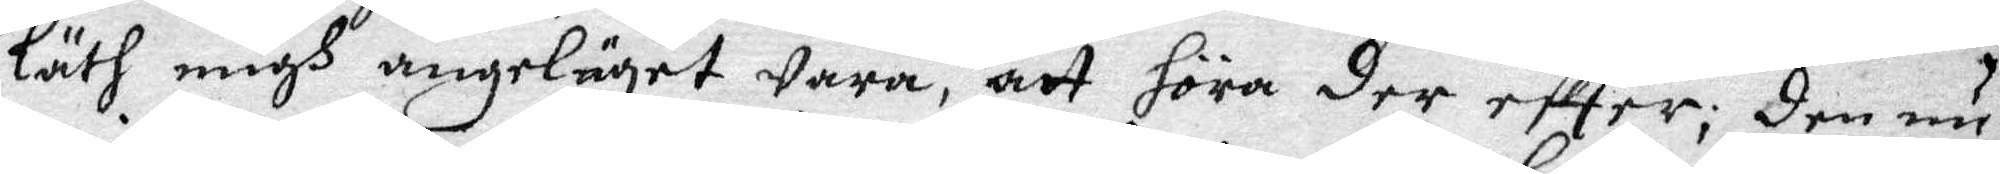läth migh angeläget wara, att höra der effter; Den nu
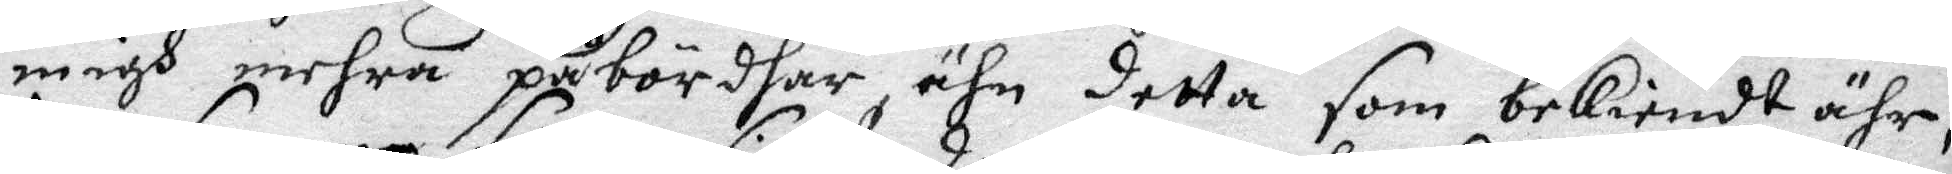migh mehra påbördhar, ähn detta som bekiendt ähr.
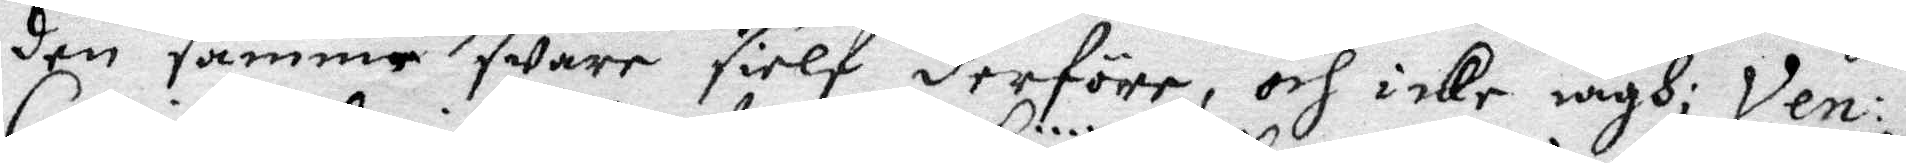den samme sware sielf derföre och icke iagh; Ven:
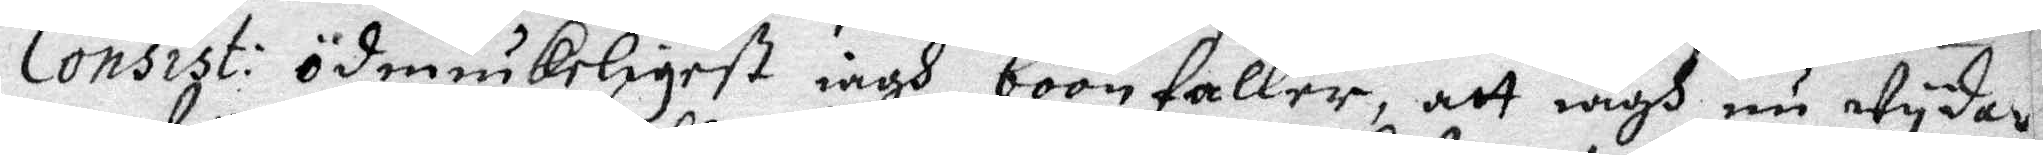Consist: ödmiukeligest iagh böönfaller, att iagh nu wydar
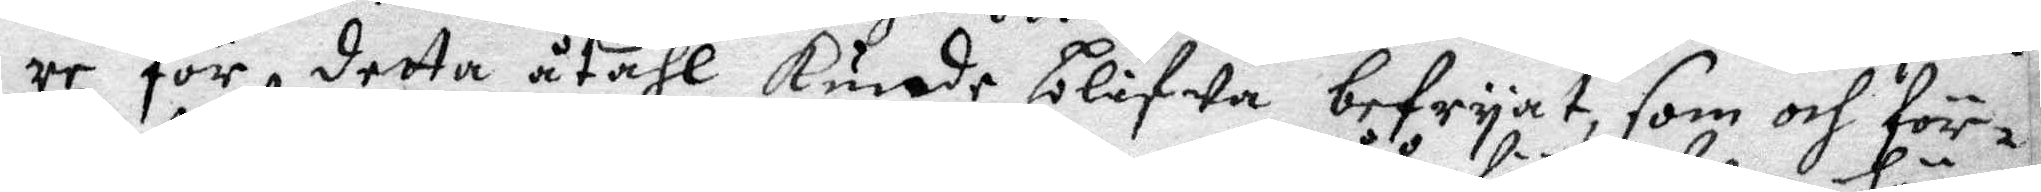re för detta åtahl kunde blifwa befryat, som och för¬
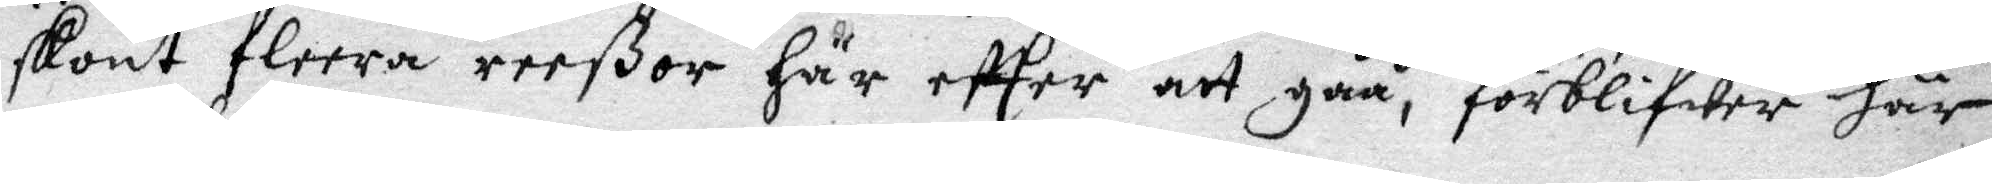skont fleera reeßor här effter att gåå, förblifwer här
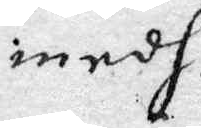medh.
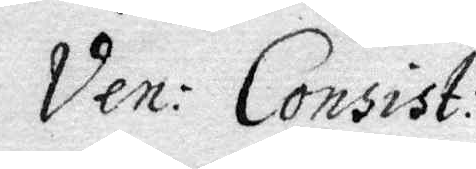Ven. Consist.
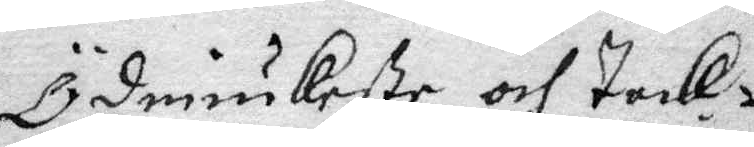Ödmiukeste och tack¬
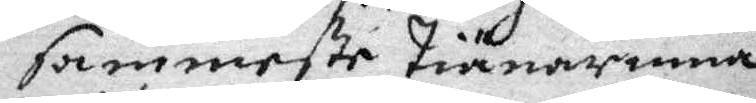sammeste tiänarinna
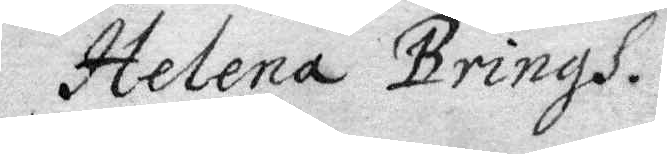Helena Bringh.
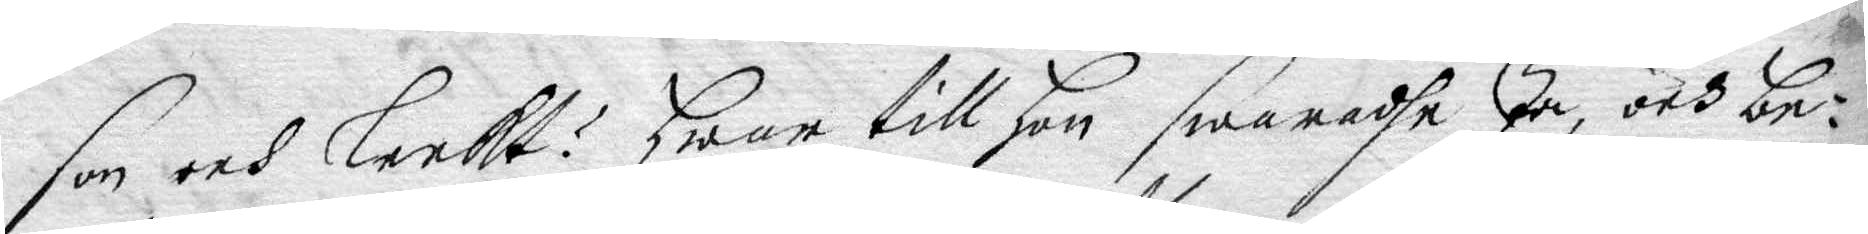som och leekt? Hwar till Hon swaradhe Ja, och be¬
